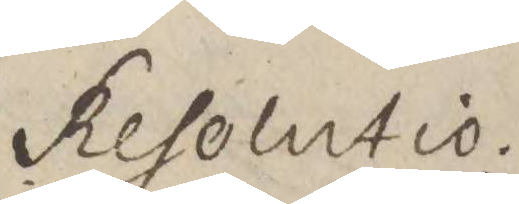Resolutio.	
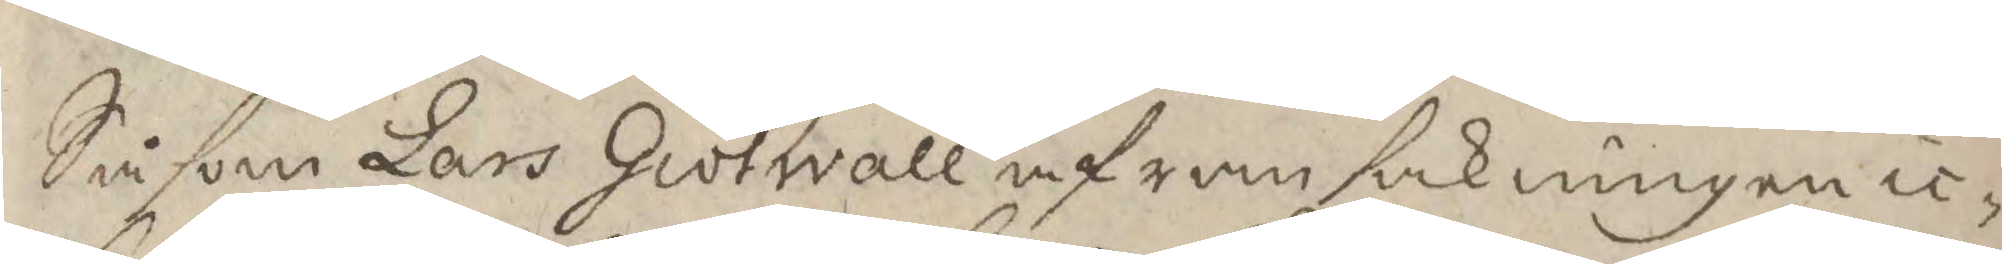Såsom Lars Giötwall af ransakningen ic¬
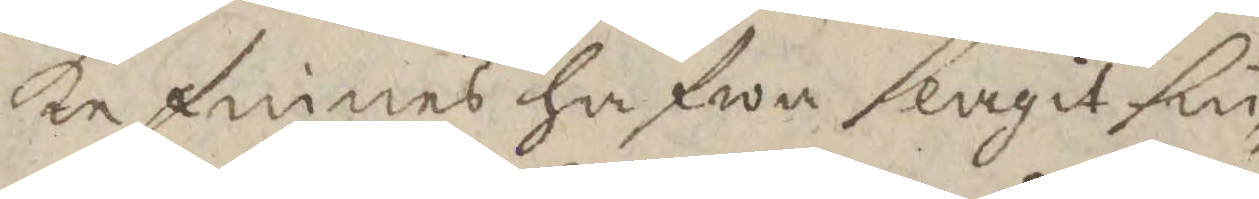ke finnes hafwa slagit sin
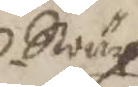Swär¬
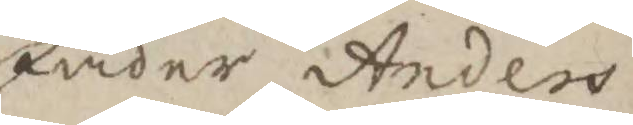fader Anders
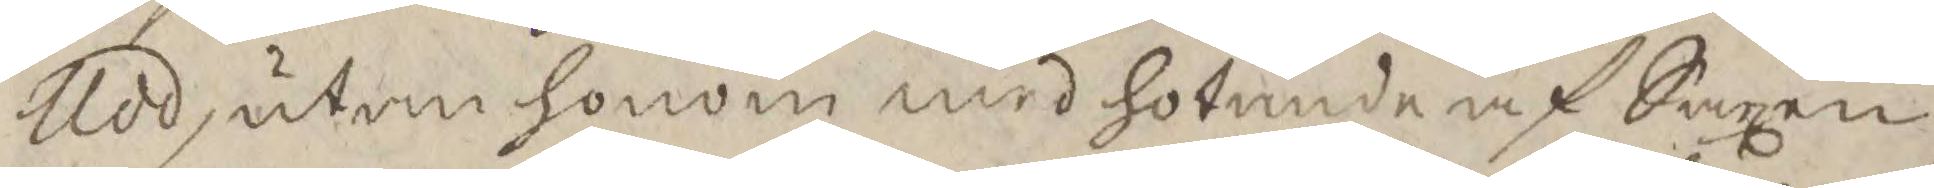Udd, utan honom med hotande af Saxen
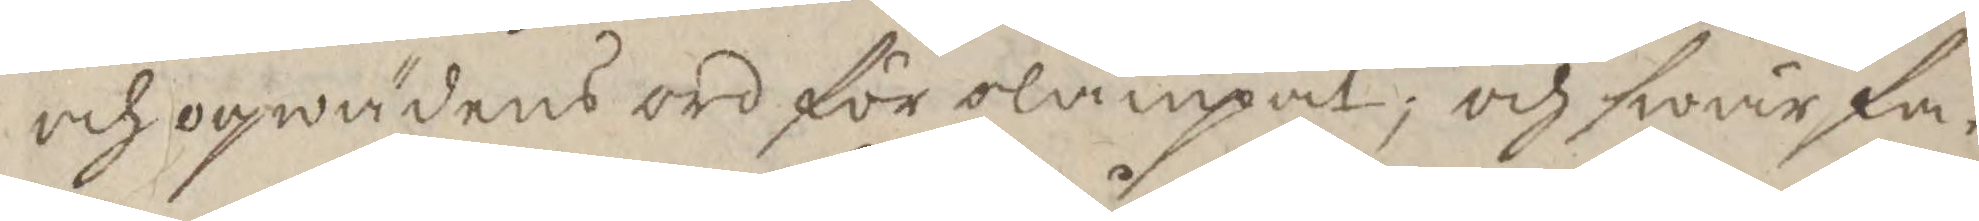och oqwädnings ord för olämpat; och swärfa¬
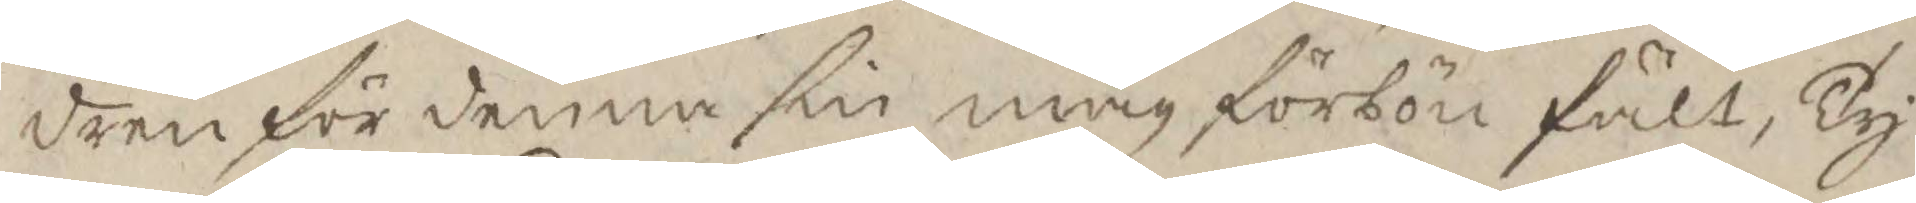dren för denna sin måg förbön fält, Ty
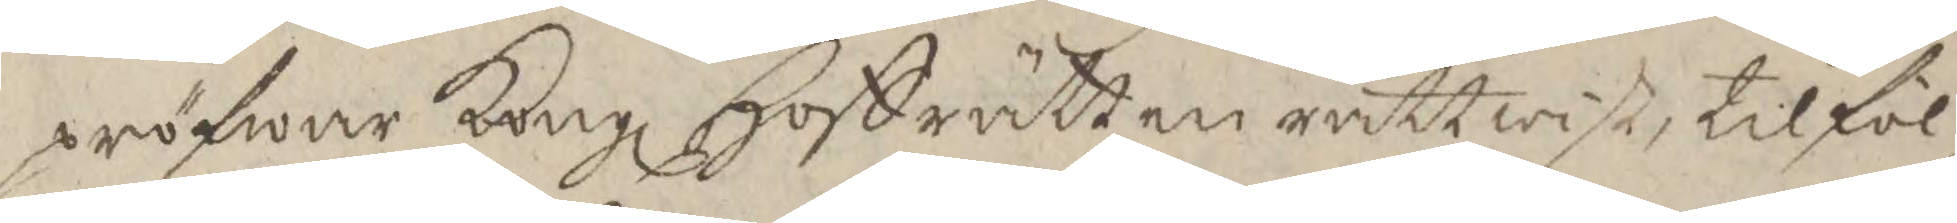pröfwar Kongl Hoffrätten rättwist til föl¬
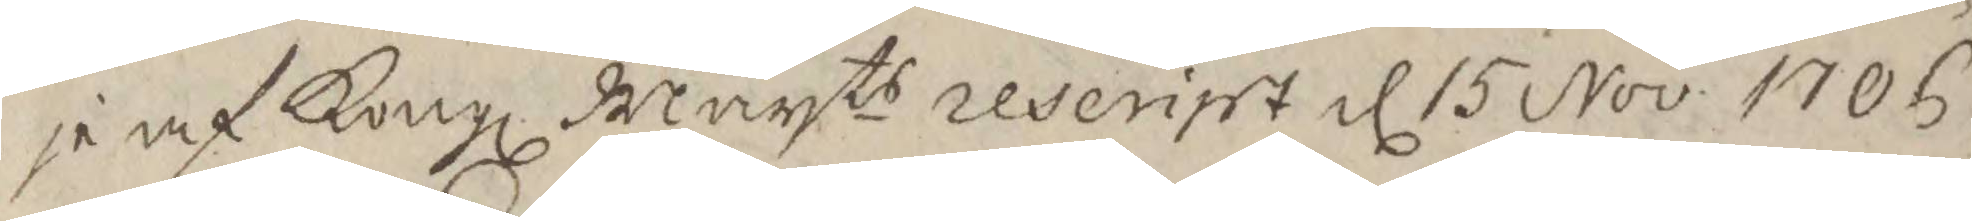je af Kongl Mayts reserisrt d 15 Nov. 1706
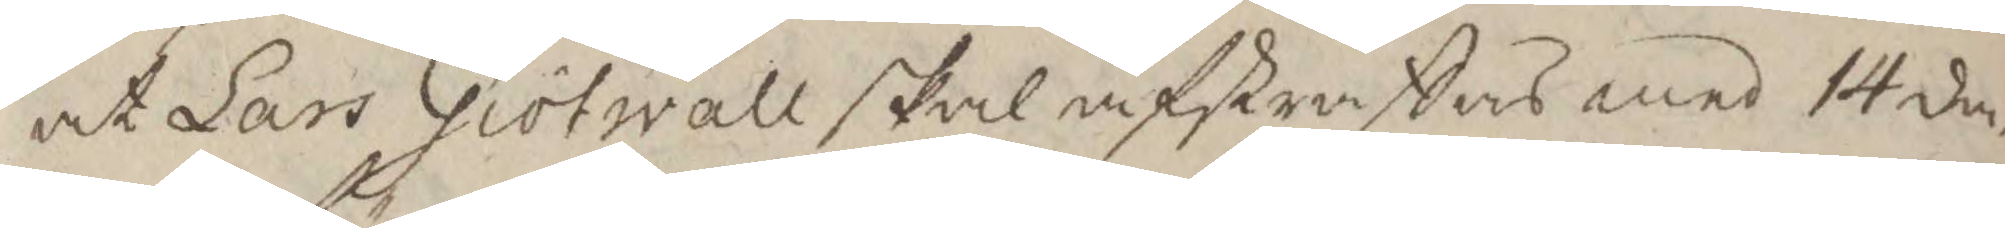at lars Giötwall skal afstraffas med 14 da¬
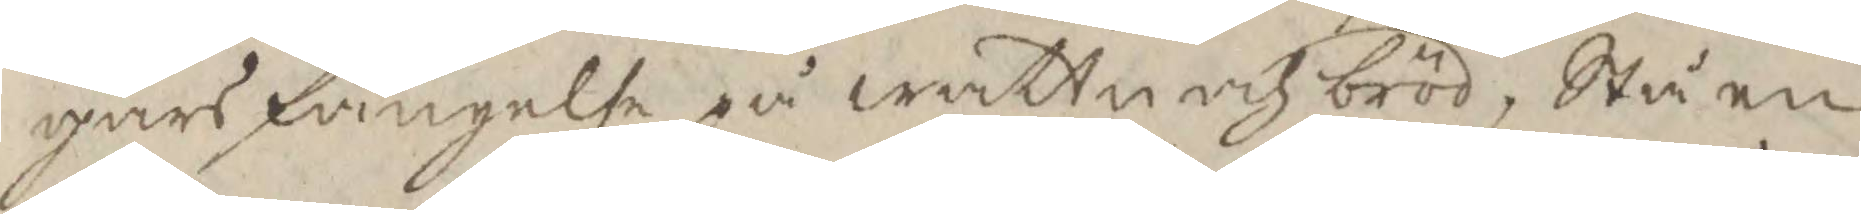gars fängelse på wattn och bröd, Stå en
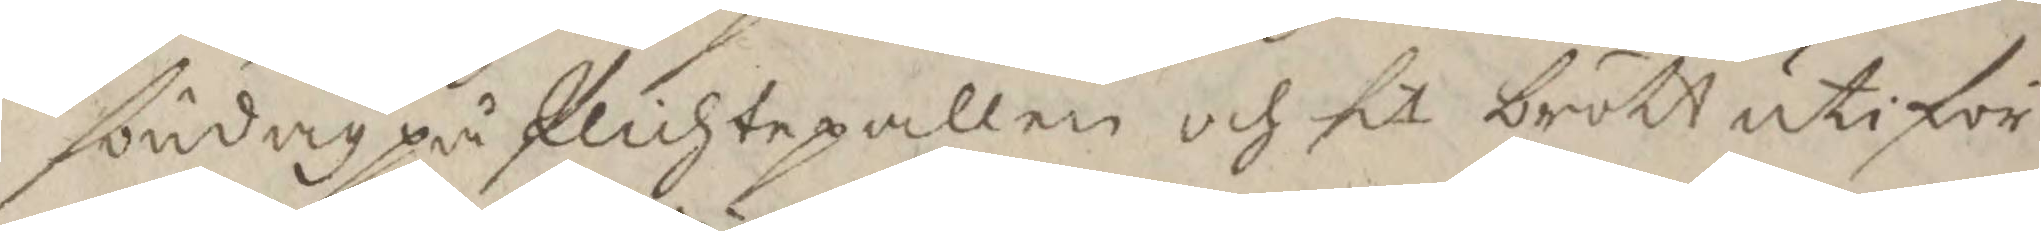söndag på Plichtpallen och sit brott uti för¬
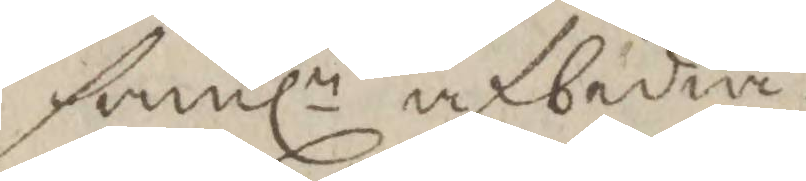sambln afbedia.
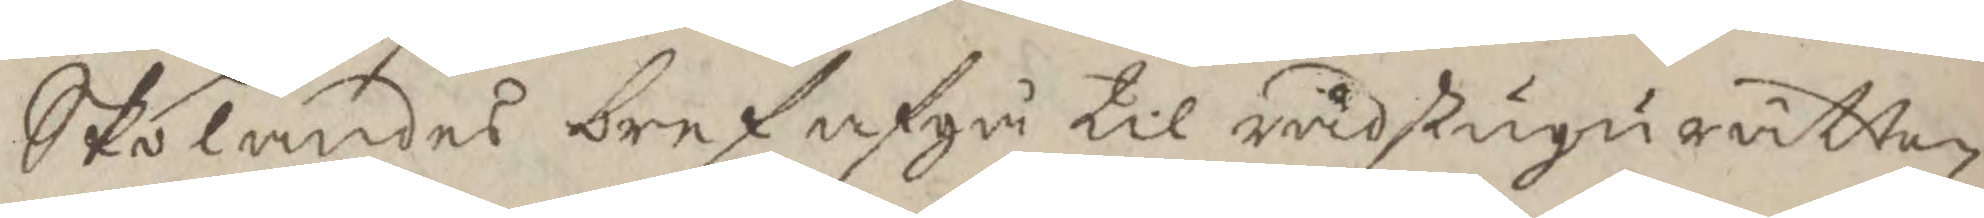Skolandes bref afgå til rådstugurätten
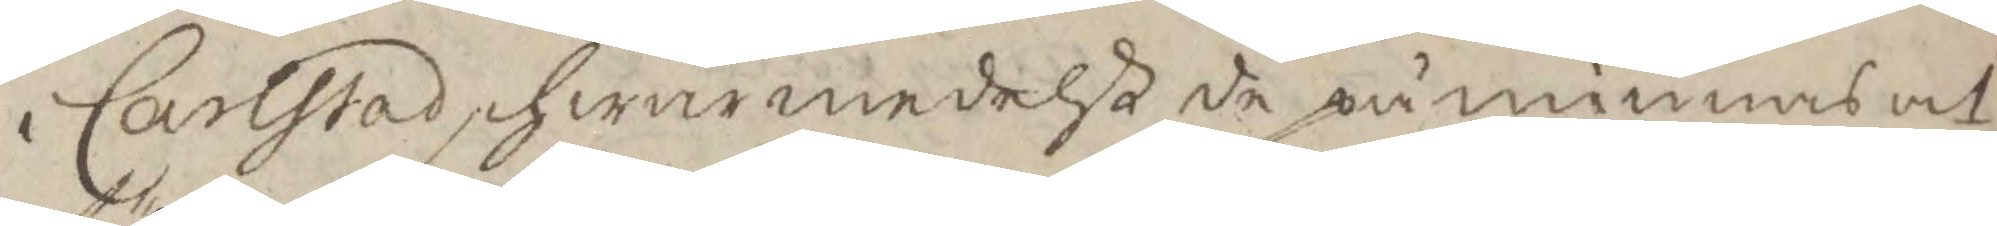i Carlstad, hwarmedelst de påminnas at
